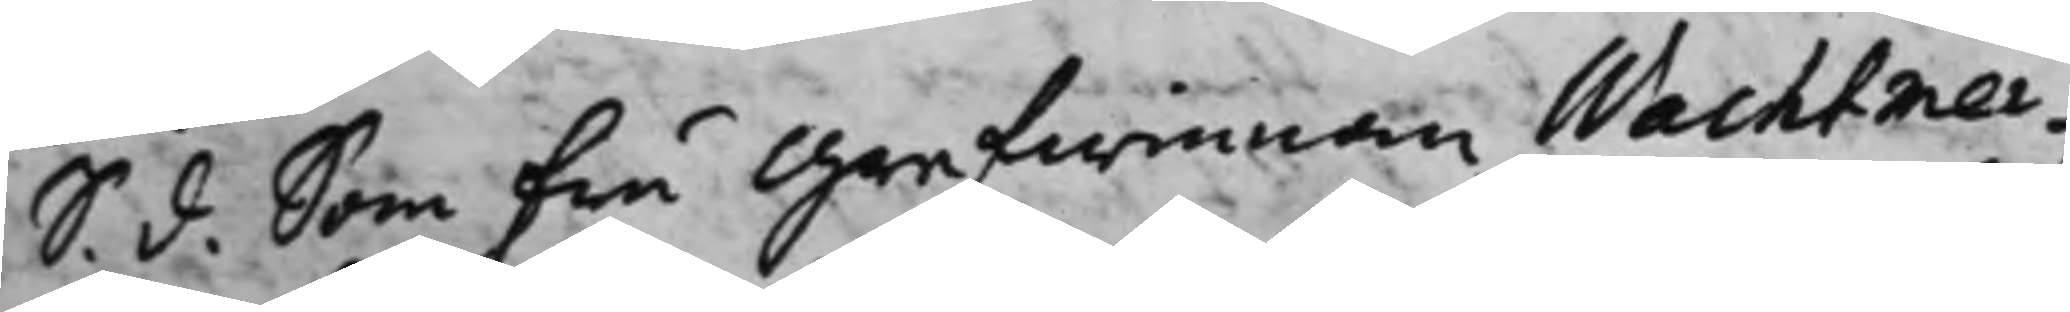S. d. Som Fru Grefwinnan Wachtmei¬
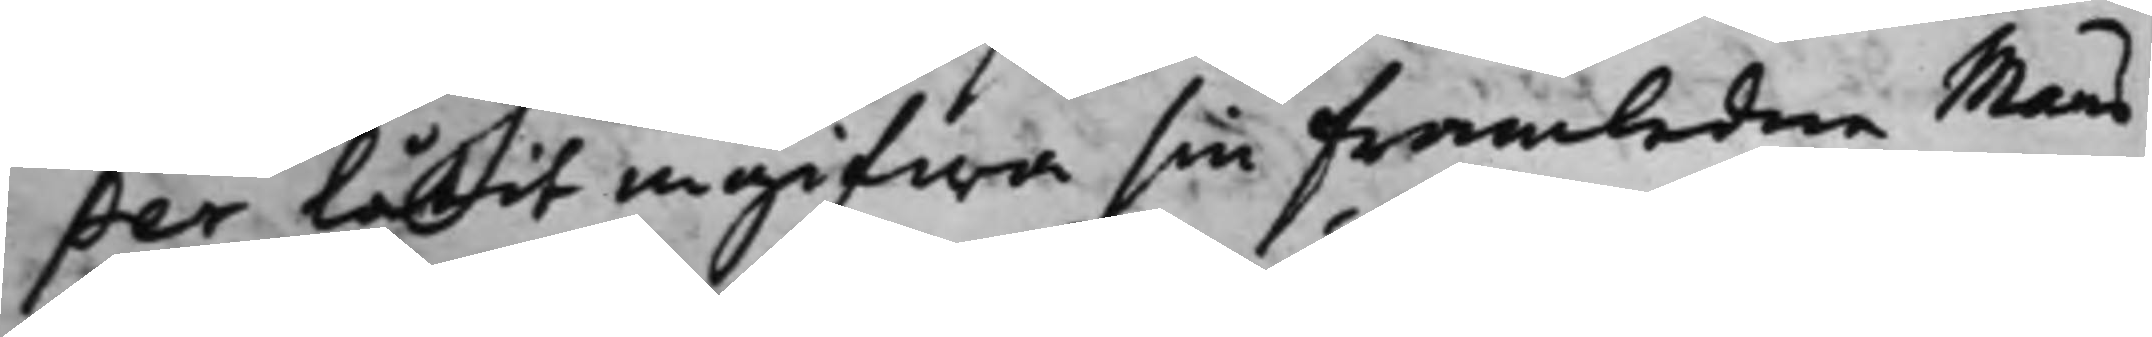ster låtit ingifwa sin Framledne Mans
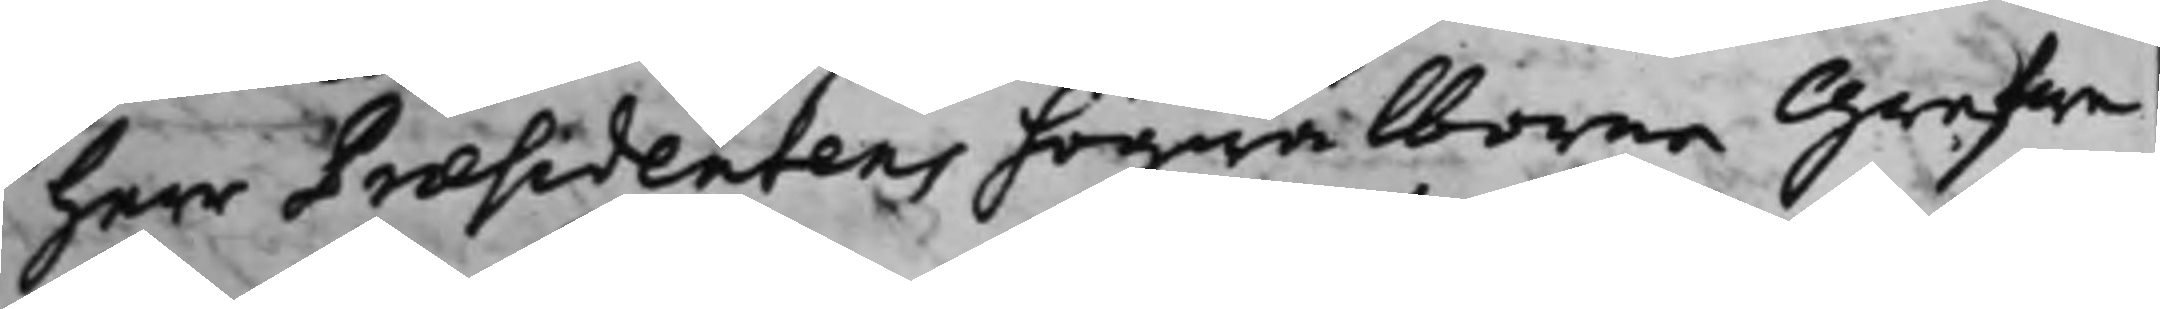herr Præsidentens högwälborne Grefwe
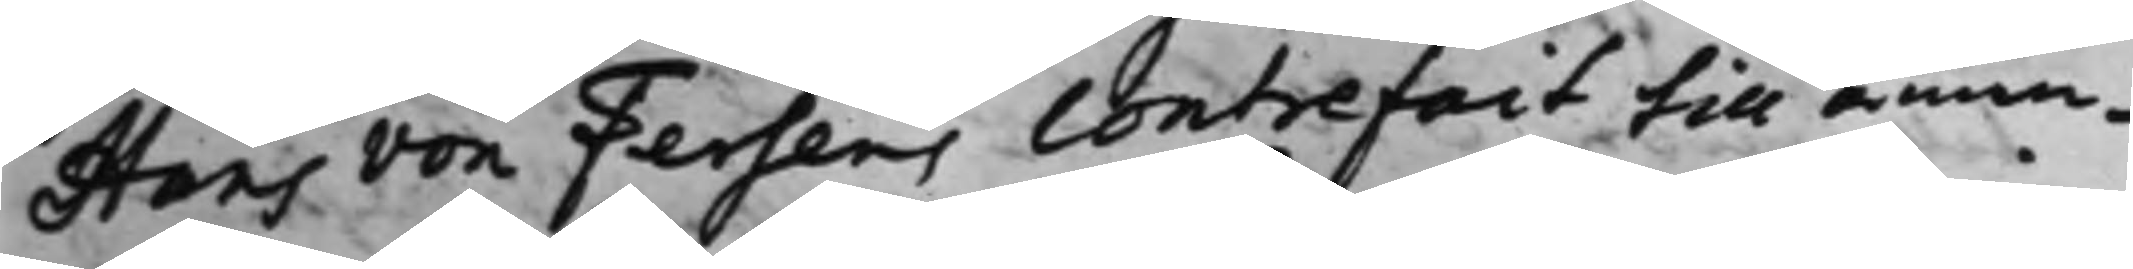Hans von Fersens Contrefait till åmin¬
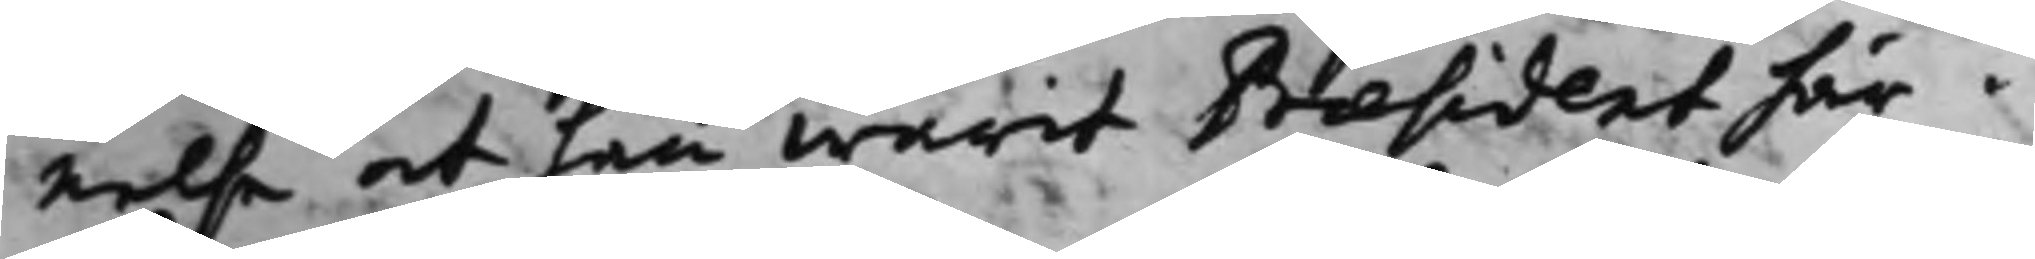nelse at han warit Præsident här i
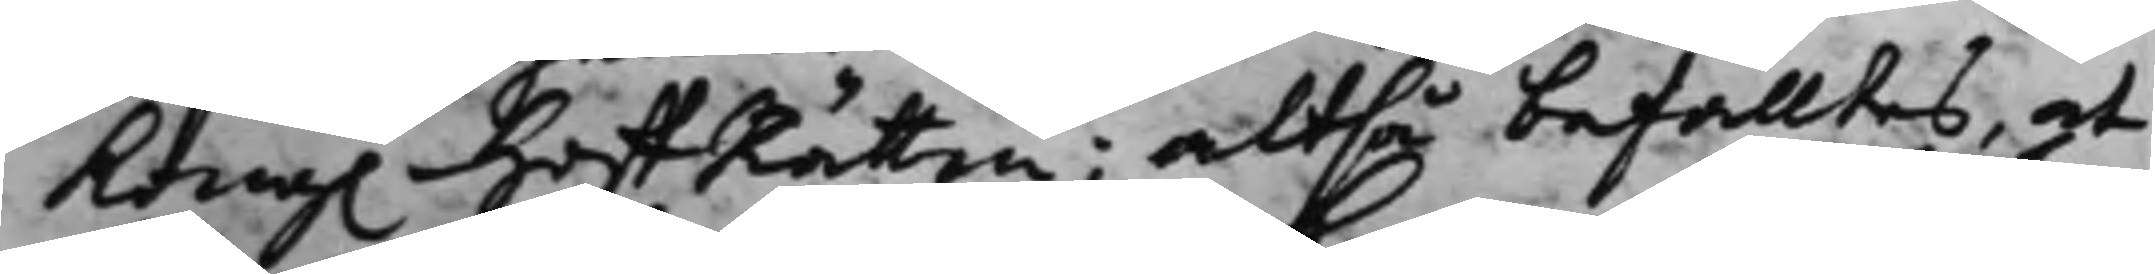Kong. HoffRätten; altså befalltes, at
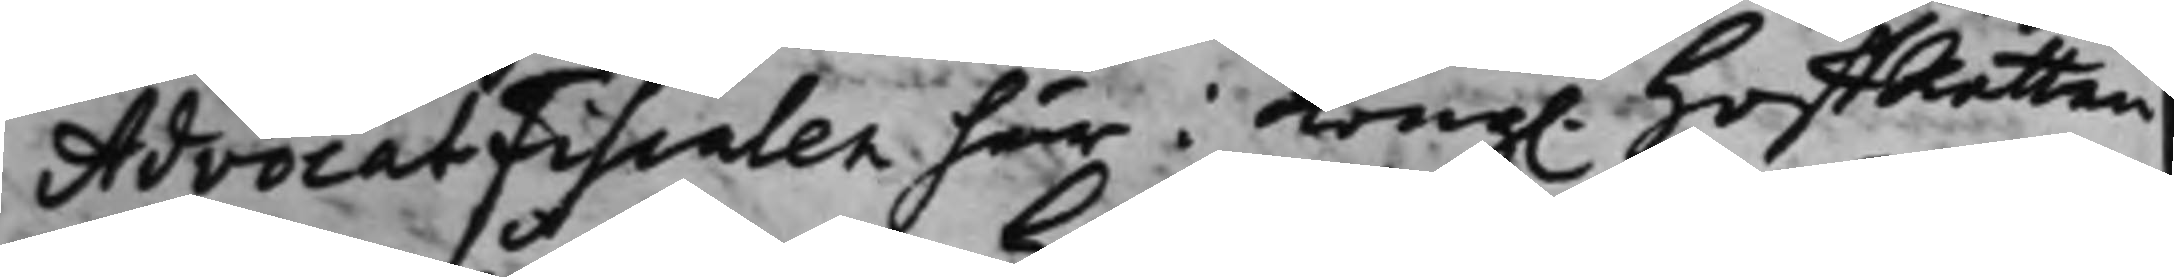AdvocatFiscalen här i Kong. HoffRätten
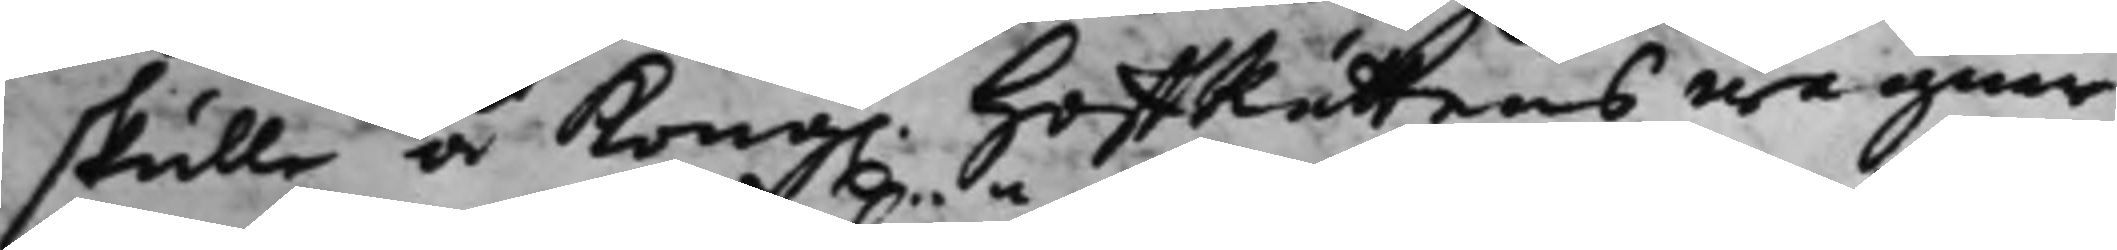skulle å Kong. HoffRättens wägnar
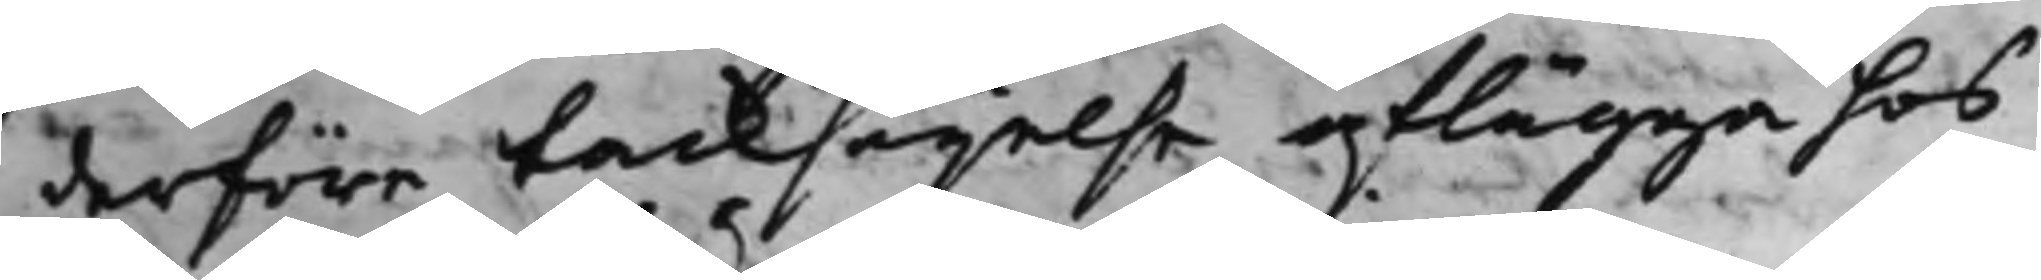derföre tacksägelse aflägga hos
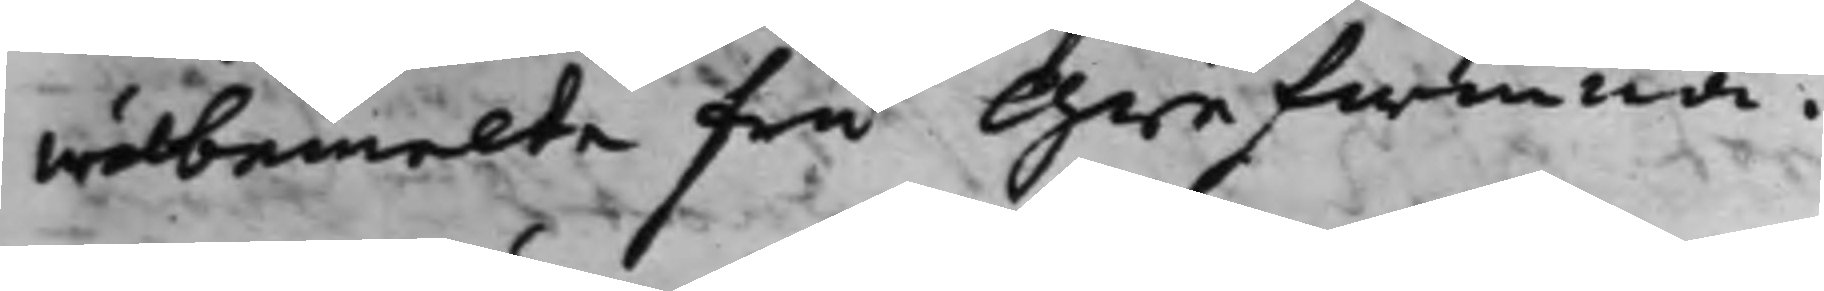wälbemelte Fru Grefwinna.
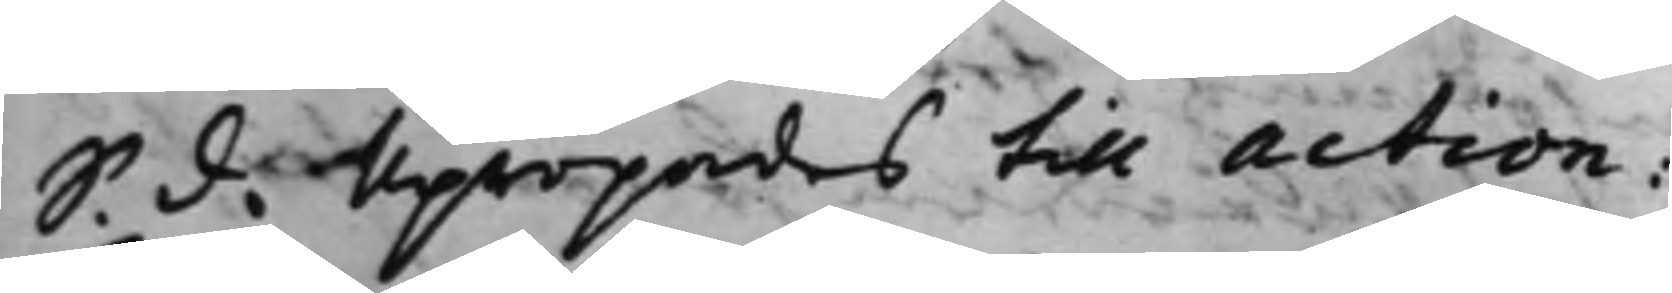S. d. Upropades till action:
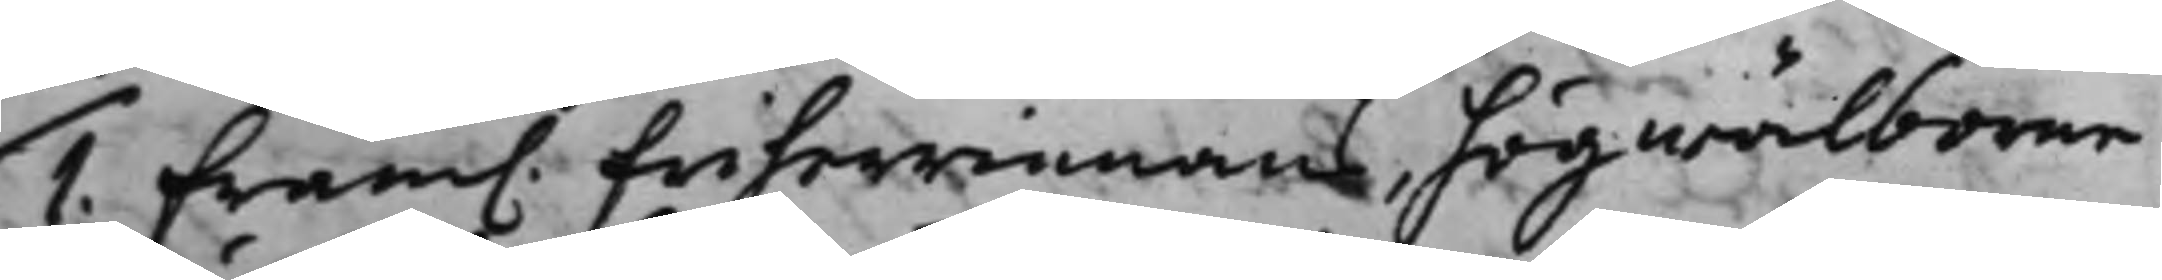1. Fram. friherrinnans, högwälborne
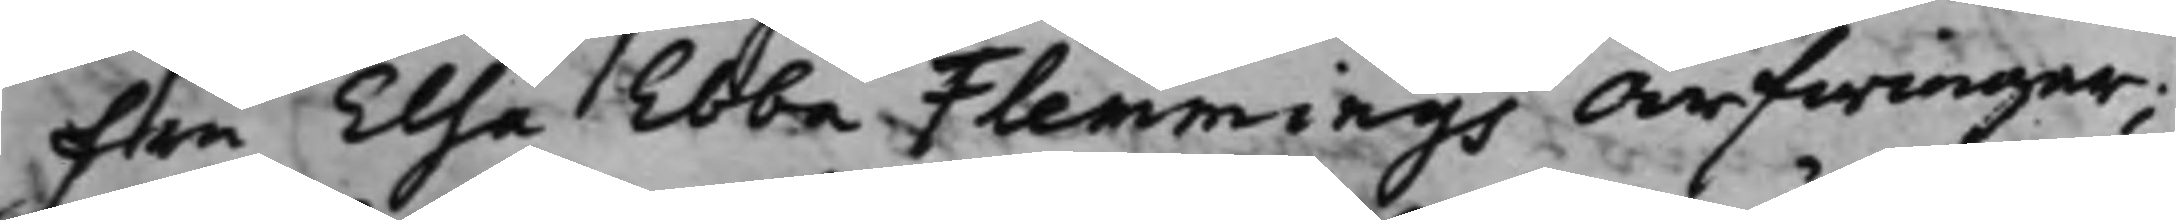Fru Elsa Ebba Flemmings Arfwingar;
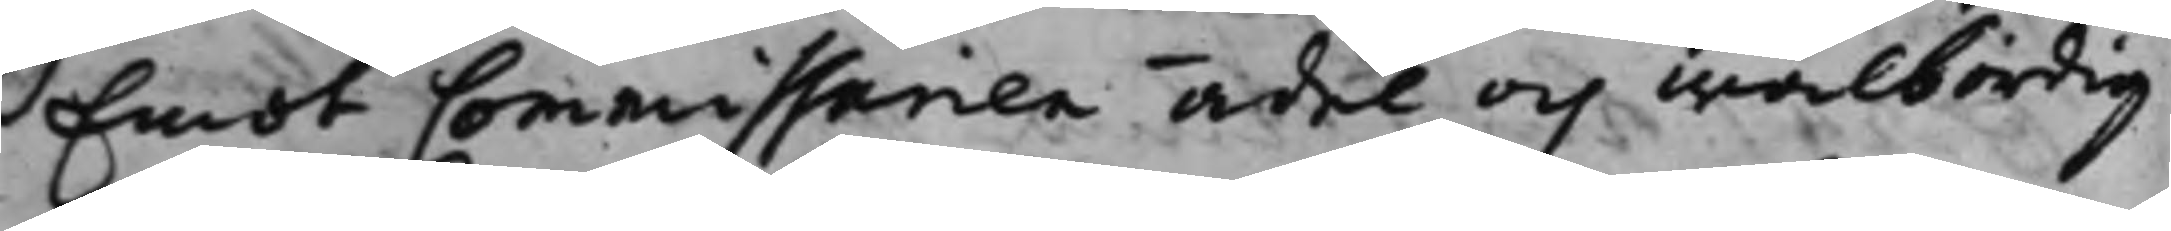Emot Commissarien ädel och wälbördig
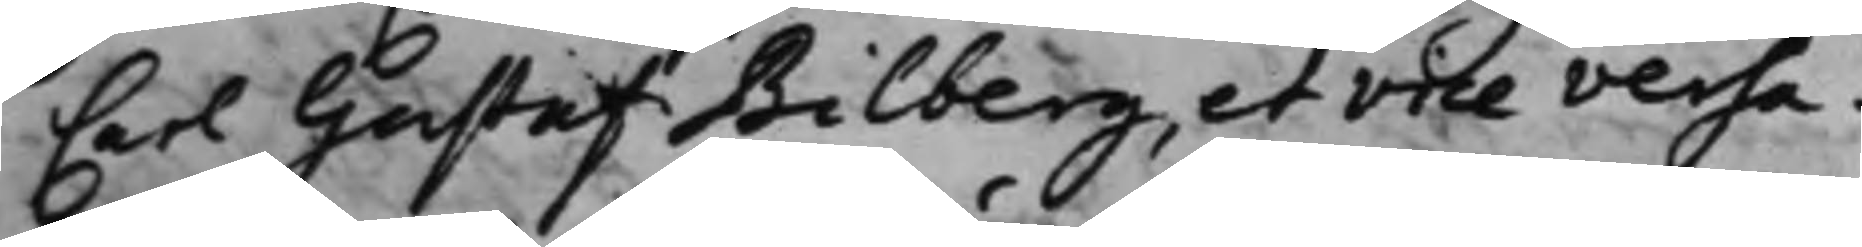Carl Gustaf Bilberg, et vice versa.
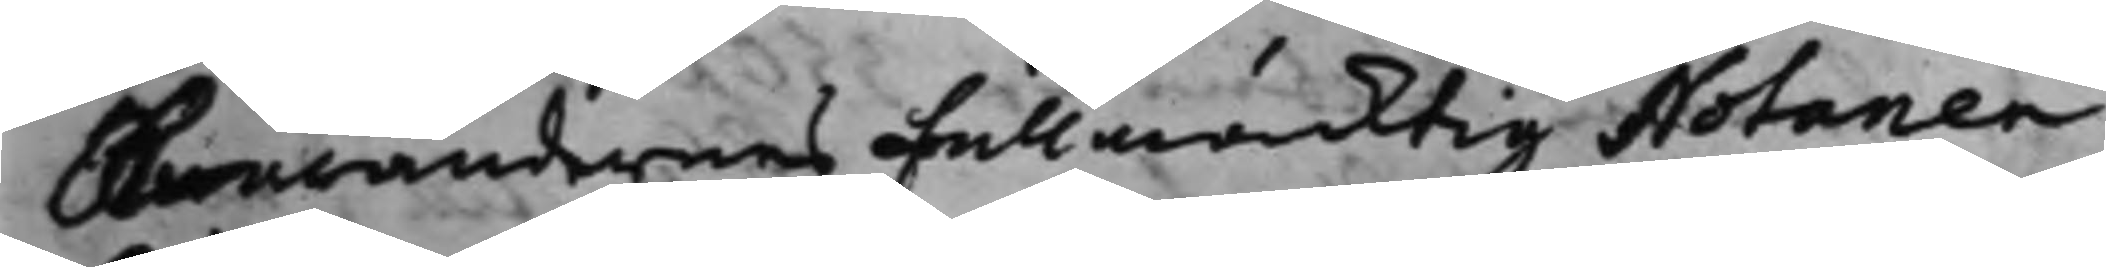Swarandernes Fullmäcktig Notarien
